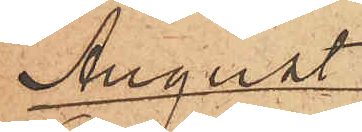August
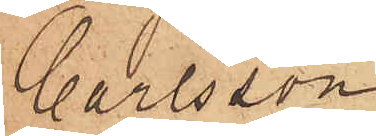Carlsson
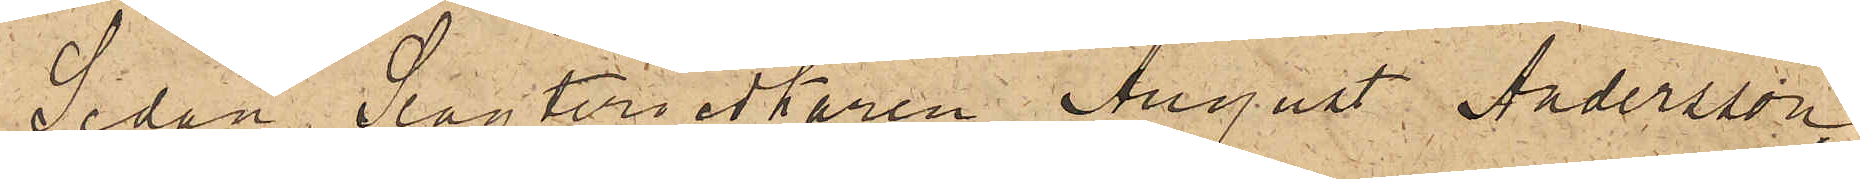Sedan Slagteriidkaren August Andersson,
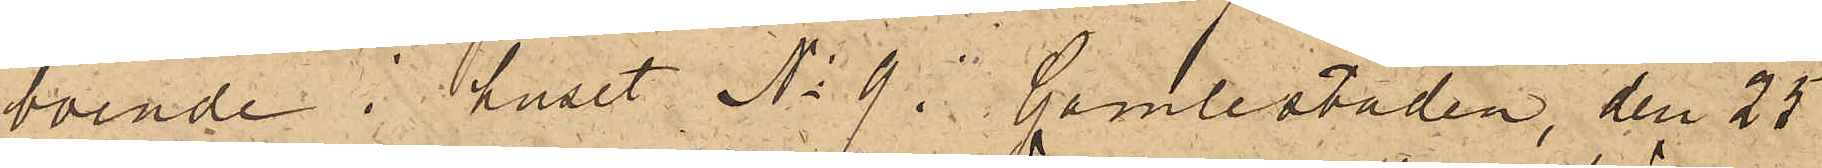boende i huset No 9 i Gamlestaden, den 25
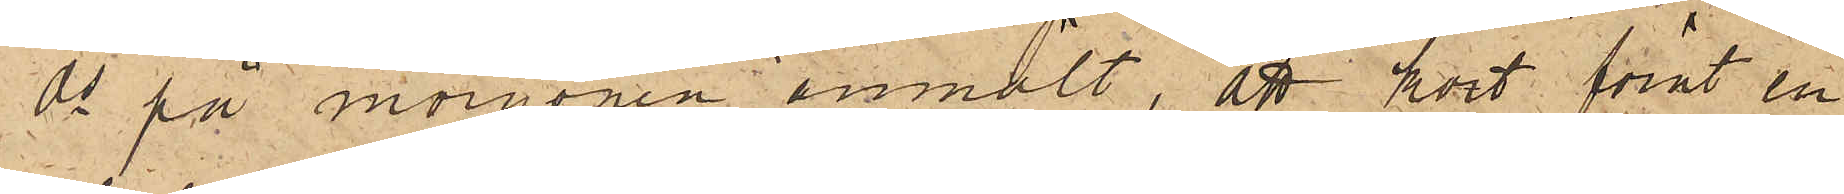ds på morgonen anmält, att kort förut en
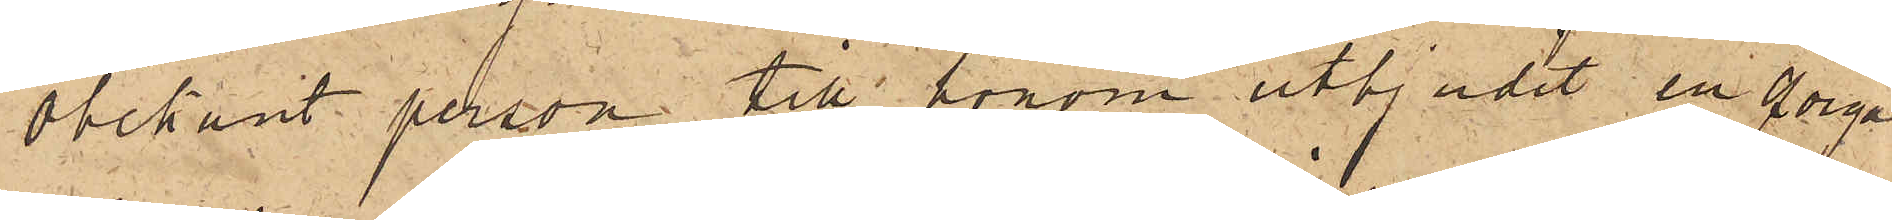obekant person till honom utbjudit en qviga
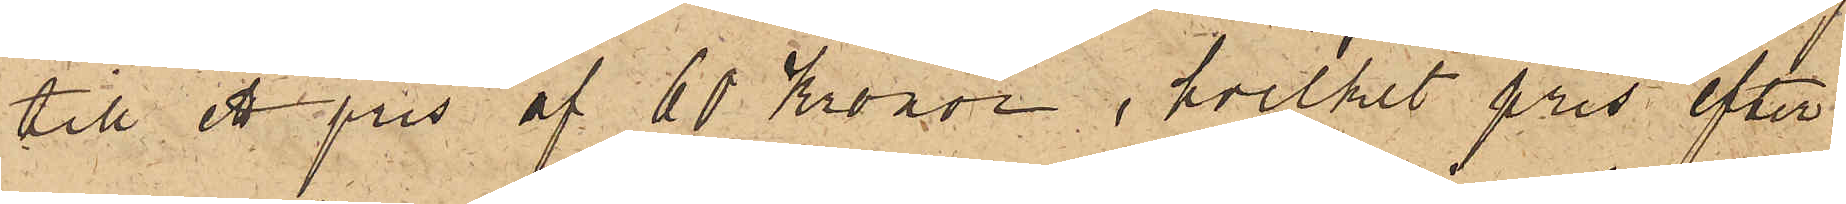till ett pris af 60 kronor, hvilket pris efter
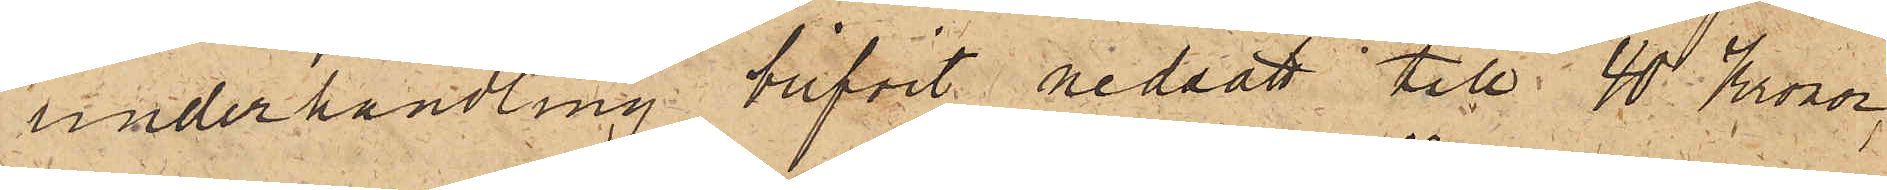underhandling blifvit nedsatt till 40 Kronor,
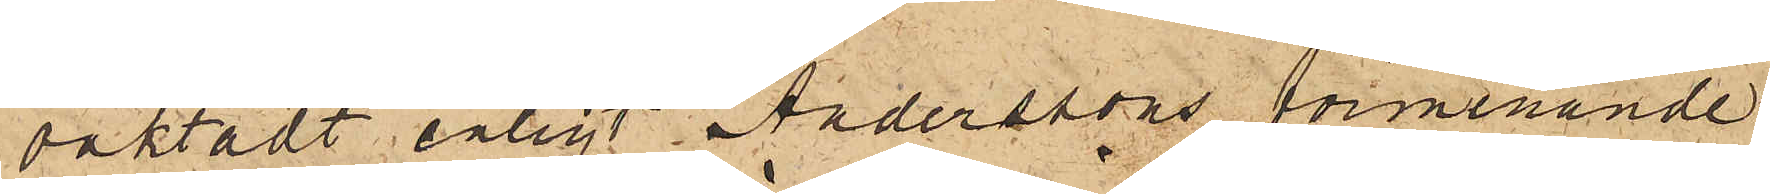oaktadt enligt Anderssons förmenande
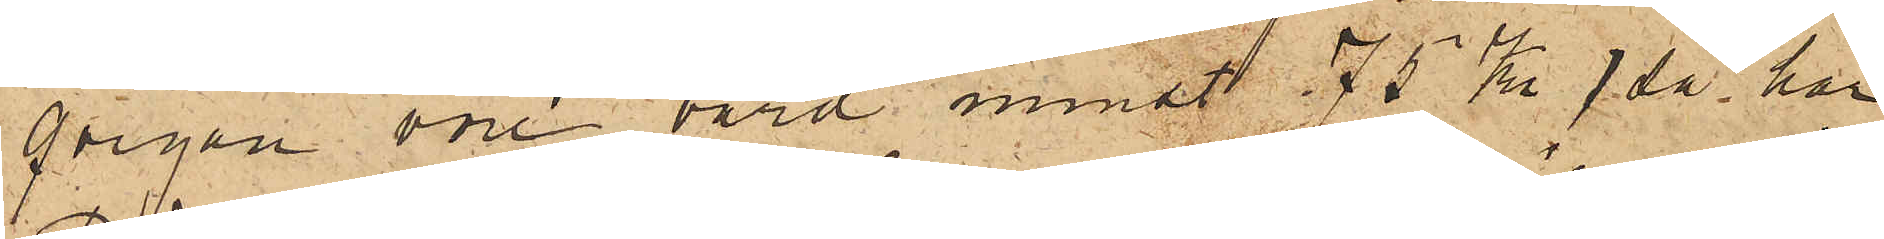qvigan vore värd minst 75 Kr, så har
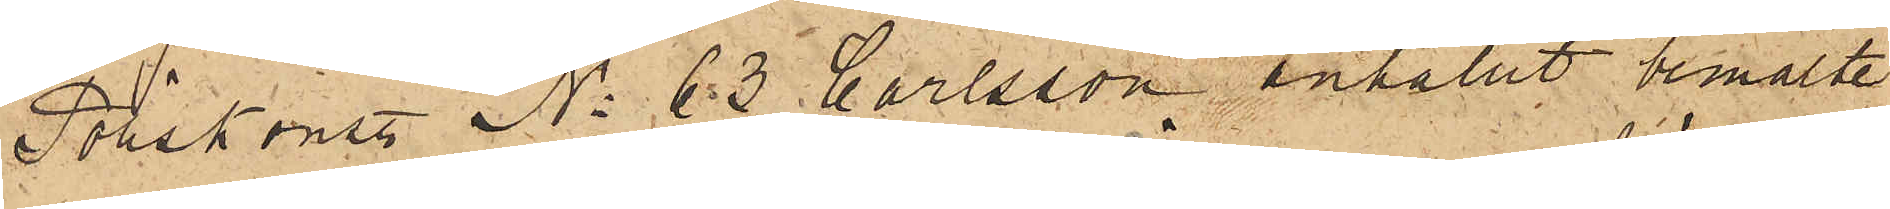Poliskonst No 63 Carlsson anhållit bemälte
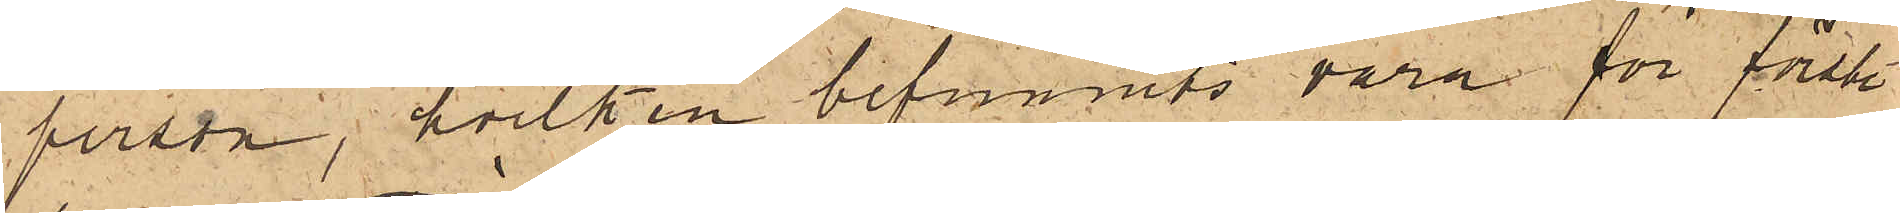person, hvilken befunnits vara för första
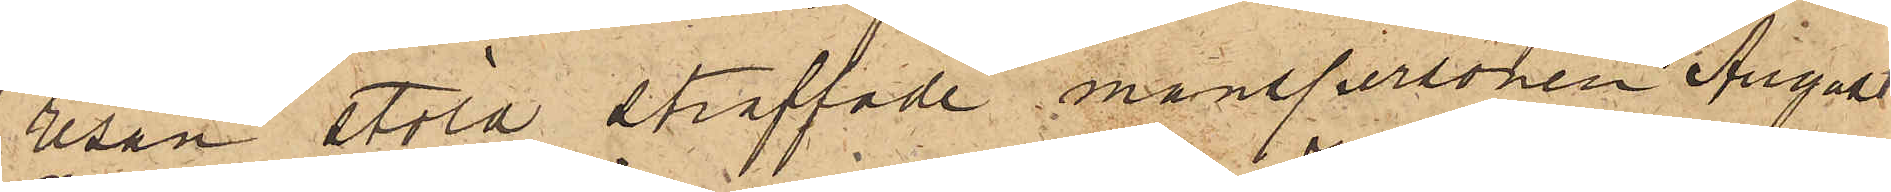resan stöld straffade manspersonen August
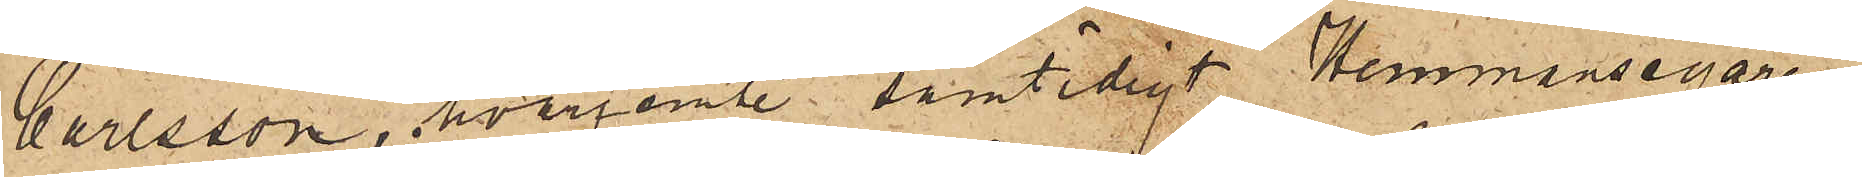Carlsson, hvarjemte samtidigt Hemmansegaren
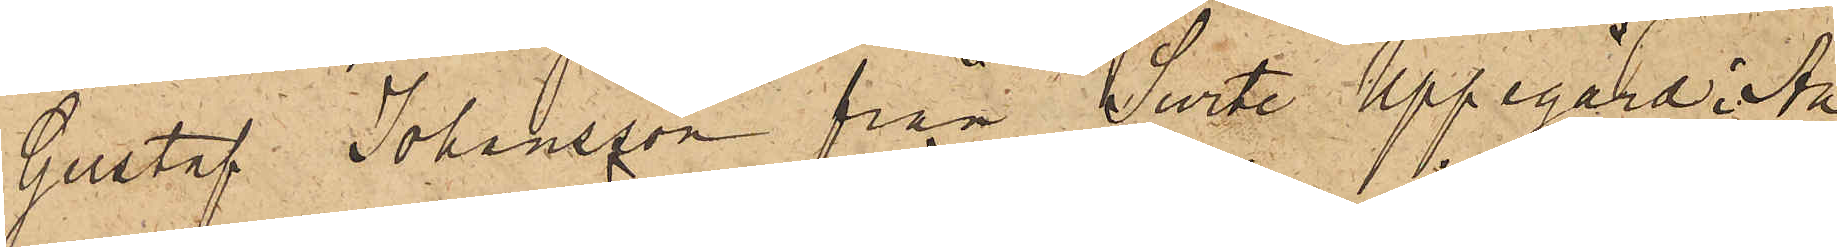Gustaf Johansson från Surte Uppegård i An¬
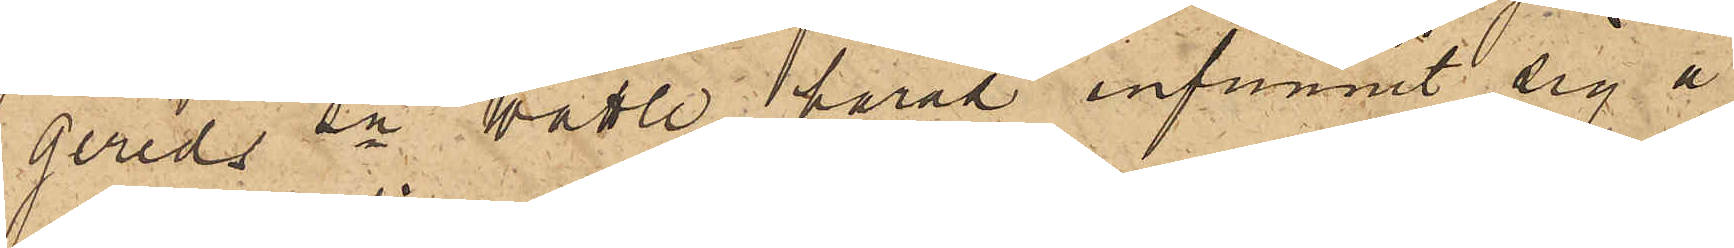gereds sn Wättle härad infunnit sig å
